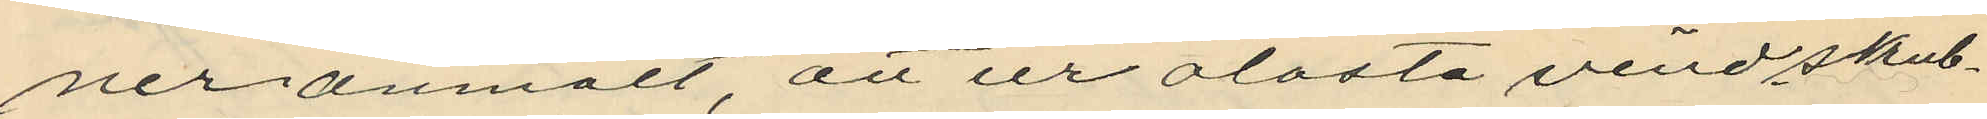ner anmält, att ur olåsta vindskrub¬
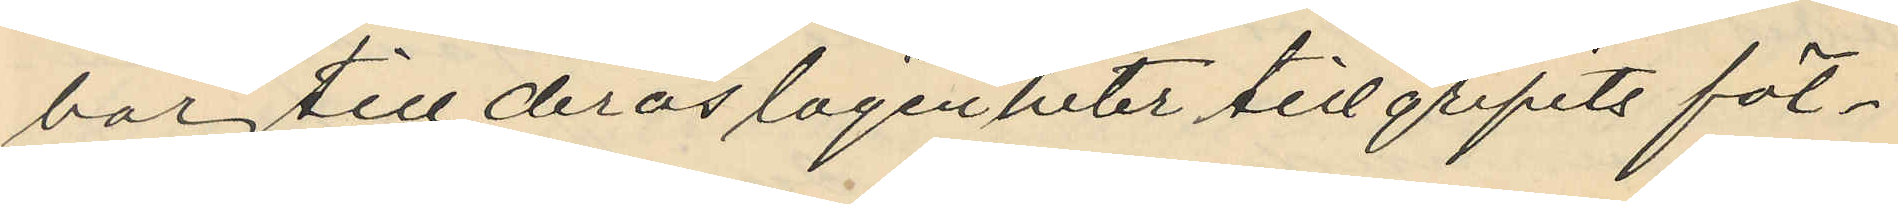bar till deras lägenheter tillgripits föl¬
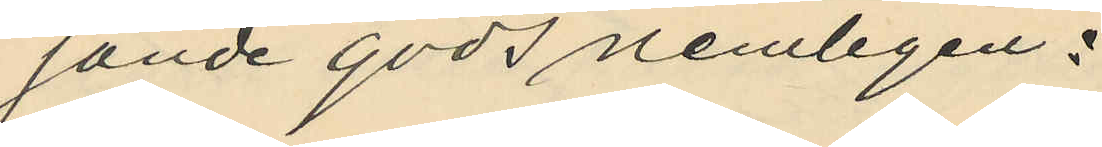jande gods nemligen:
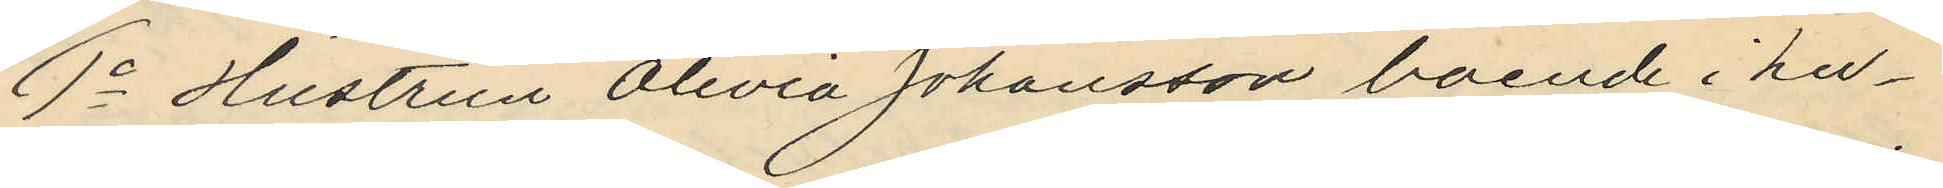1o Hustrun Olivia Johansson, boende i hu¬
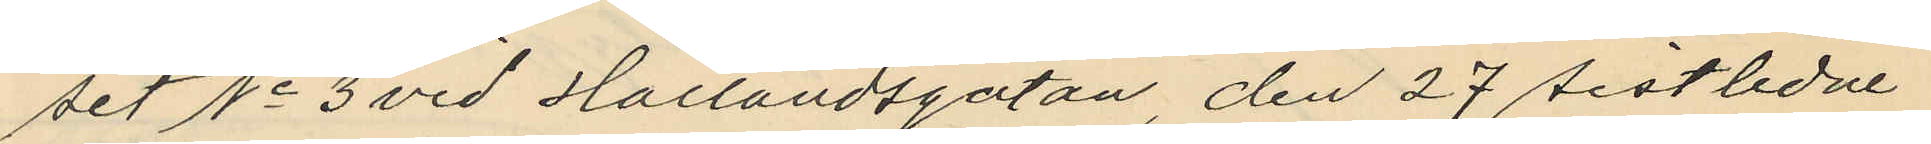set No 3 vid Hallandsgatan, den 27 sistlidne
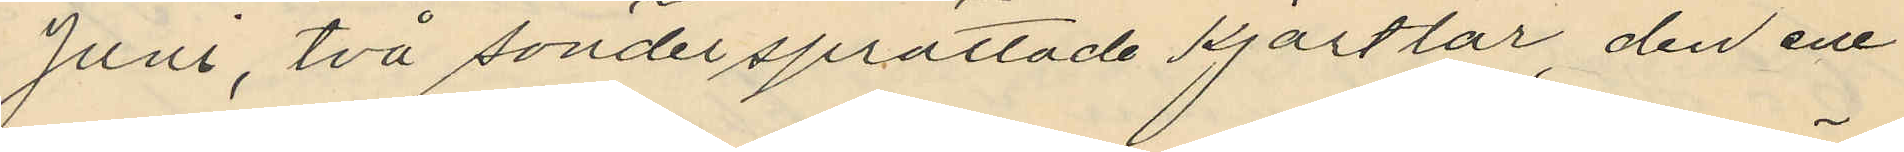Juni, två söndersprättade kjortlar, den ene¬
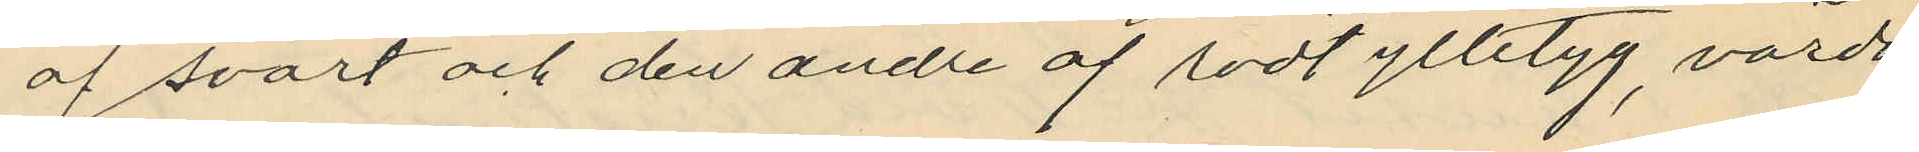af svart och den andre af rödt ylletyg, värda
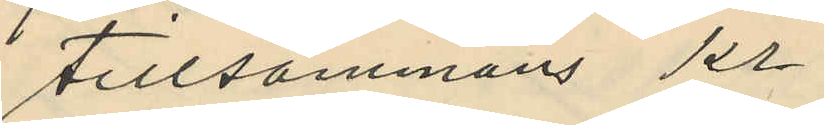tillsammans Kr.
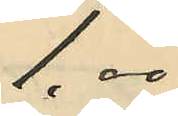1,00
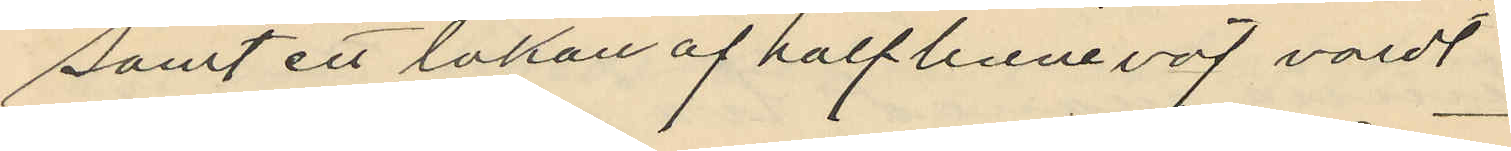samt ett lakan af halflinneväf värd
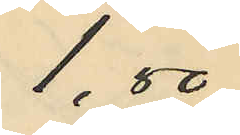1,00
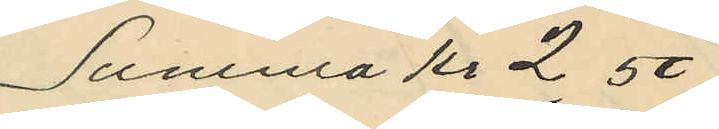Summa Kr 2,50
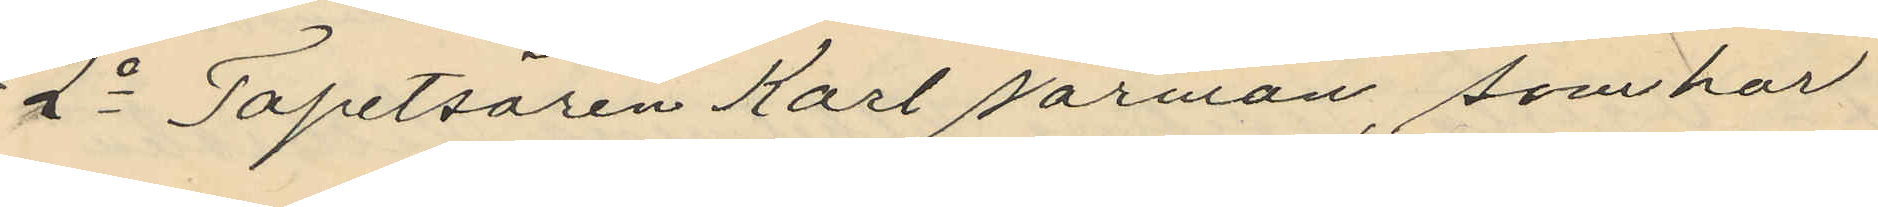2o Tapetsören Karl Narman, som har
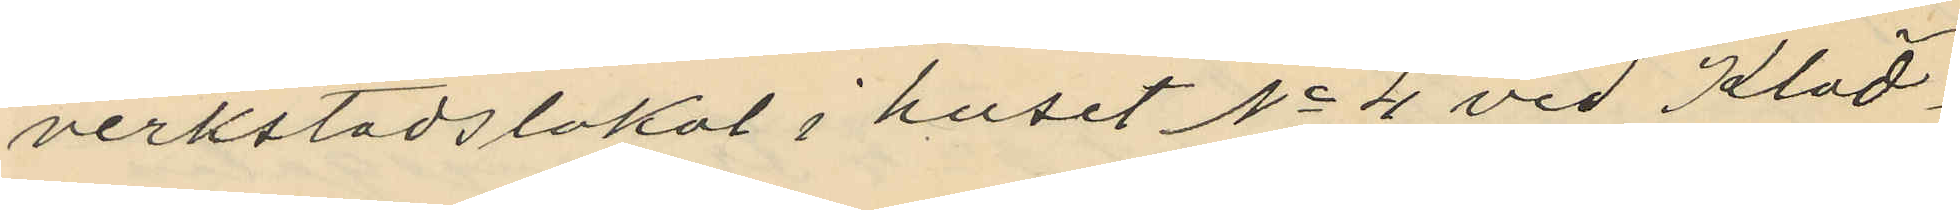verkstadslokal i huset No 4 vid Kläd¬
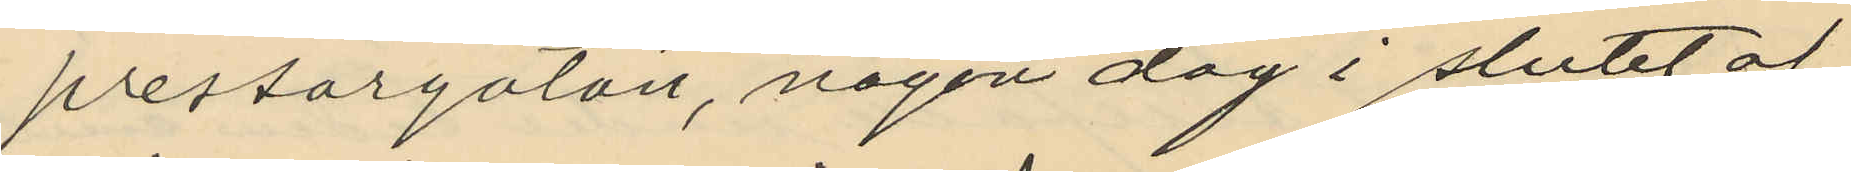pressargatan, någon dag i slutet af
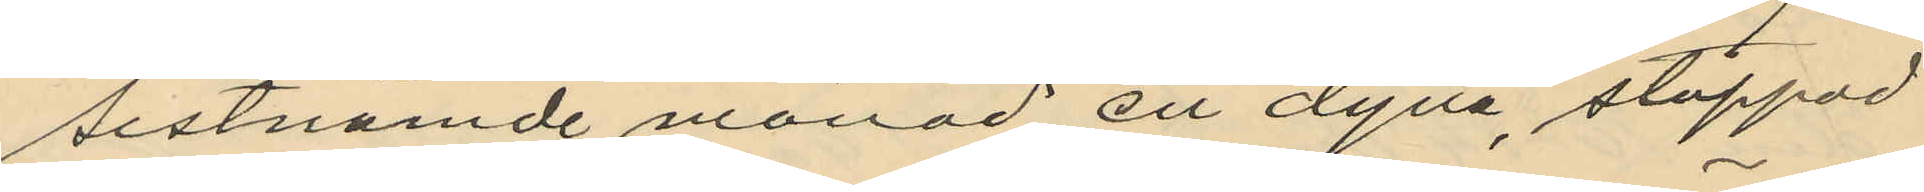sistnämde månad en dyna, stoppad
